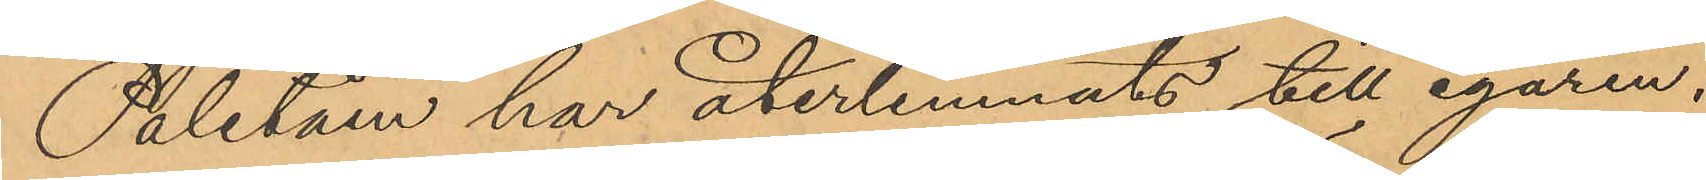Paletåen har återlemnats till egaren.
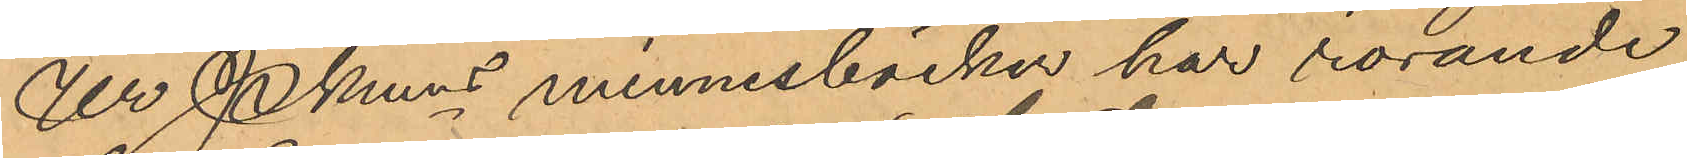Ur Pkmns minnesböcker har rörande
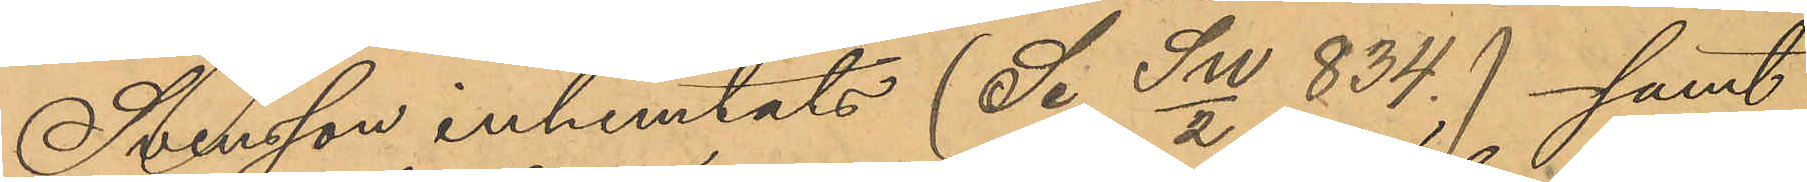Svensson inhemtats (Se Sw/2 834.) - samt
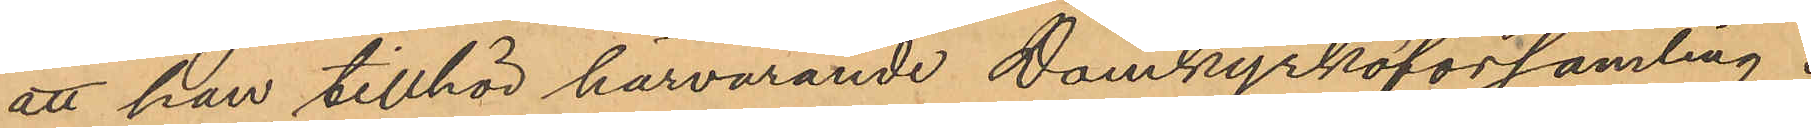att han tillhör härvarande Domkyrkoförsamling.
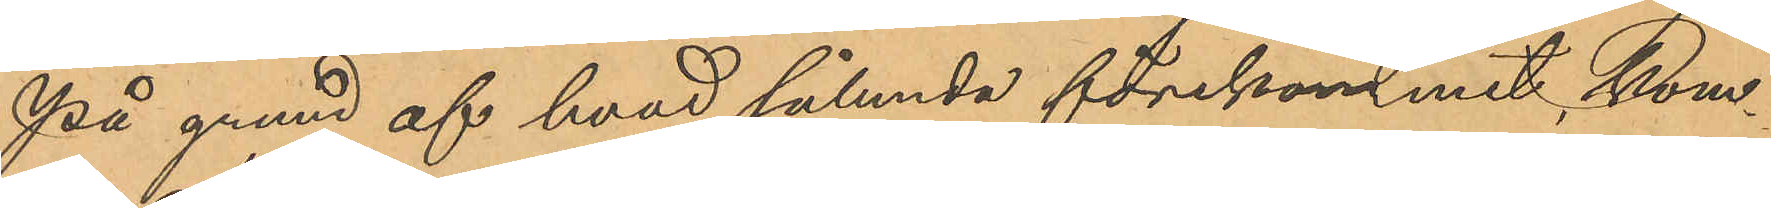På grund af hvad sålunda förekommit, kom¬
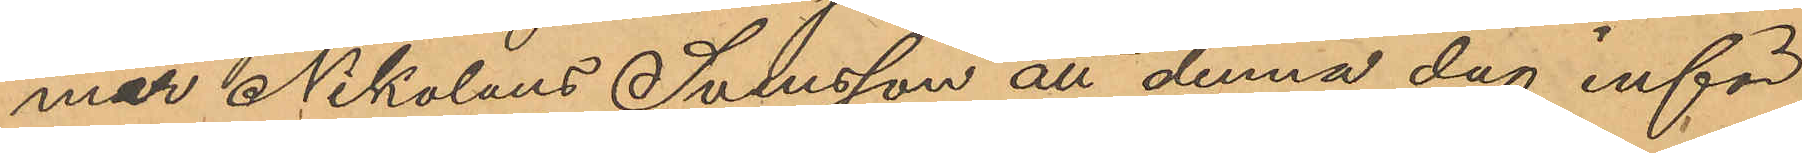mar Nikolaus Svensson att denna dag inför
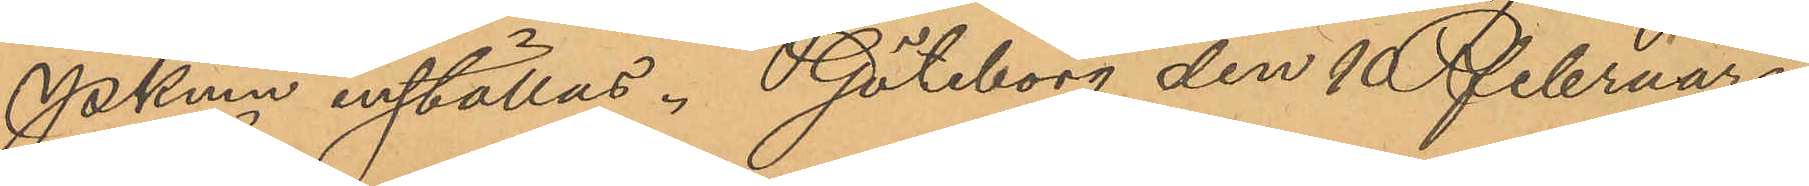Pkmn inställas. Göteborg den 10 Februari
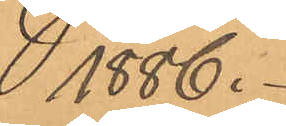1886.
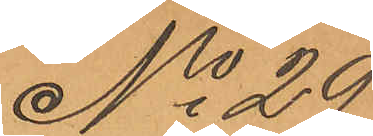No 29
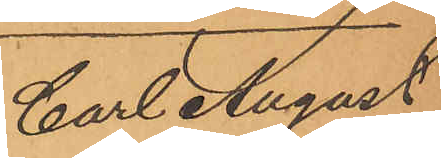Carl August
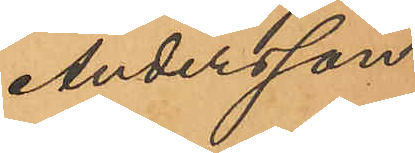Andersson
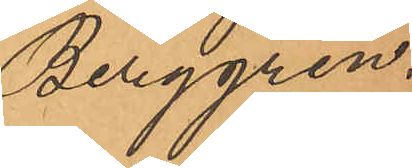Berggren.
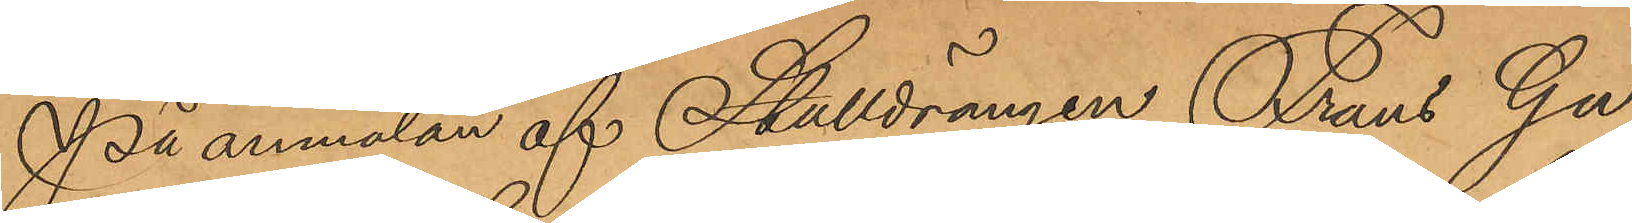På anmälan af Stalldrängen Frans Gu¬
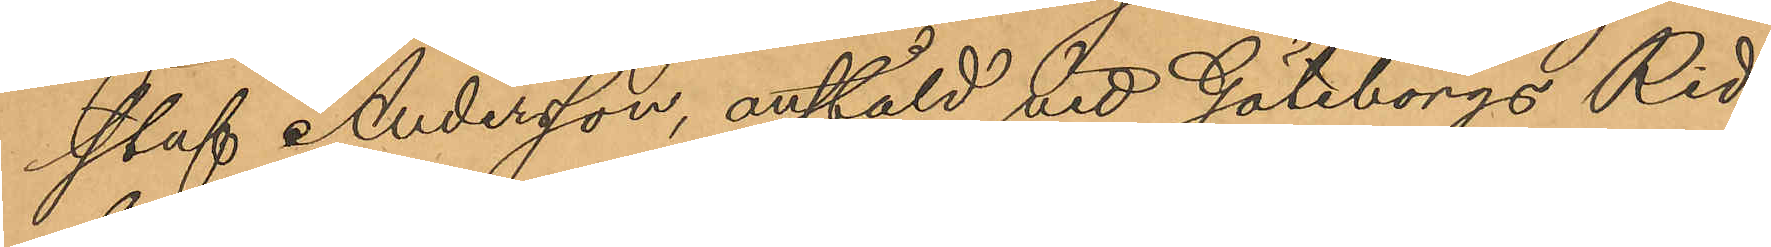staf Andersson, anstäld vid Göteborgs Rid¬
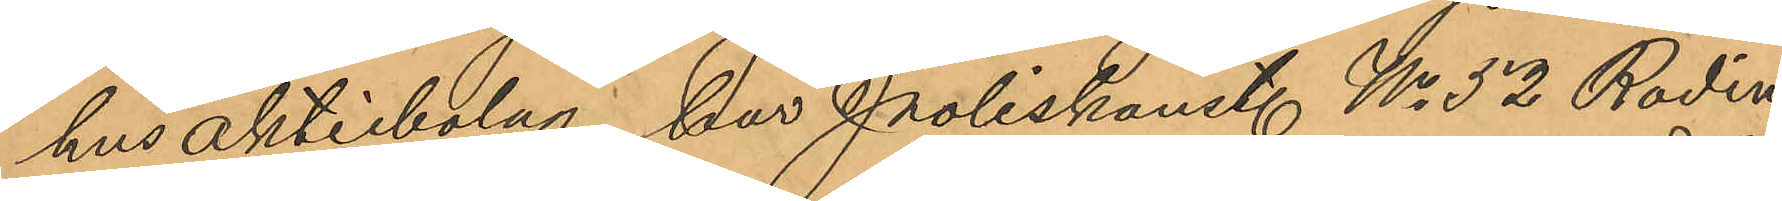hus aktiebolag, har Poliskonst. No 52 Rodin
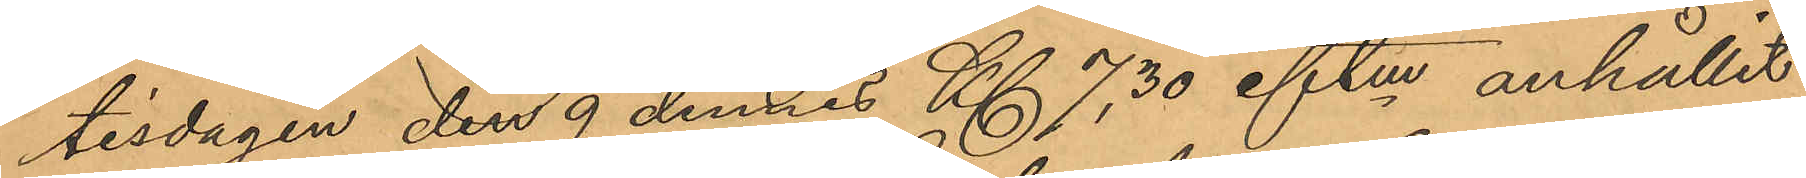tisdagen den 9 dennes Kl 7,30 eftm anhållit
